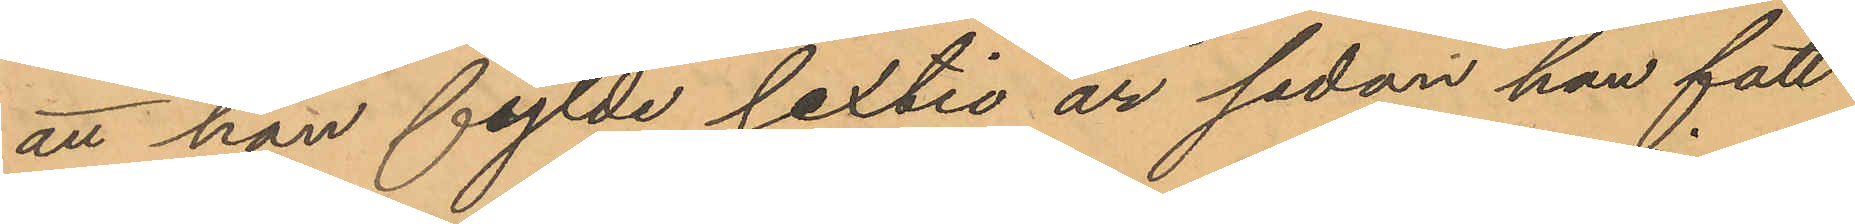att han fylde sextio år sedan han fått
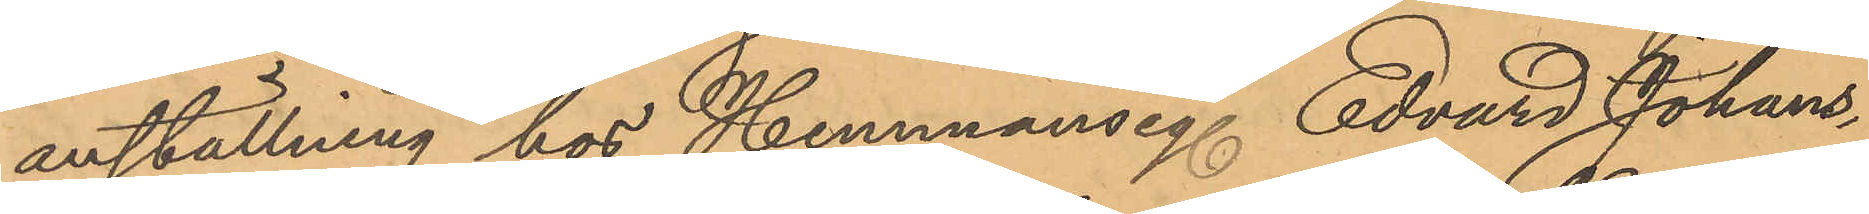anställning hos Hemmanseg Edvard Johans¬
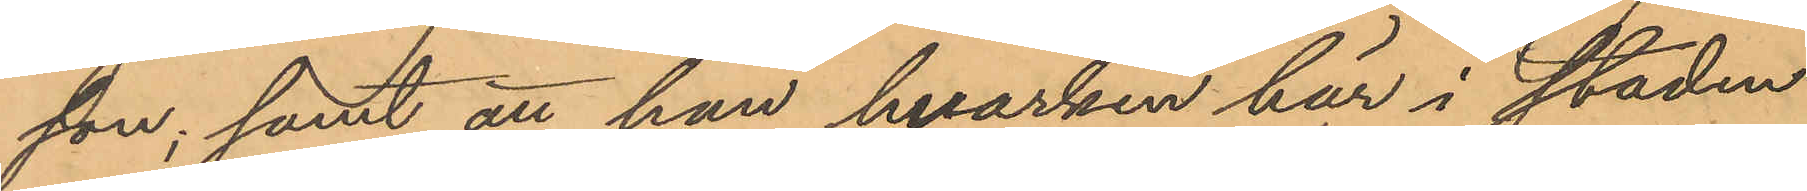son; samt att han hvarken här i staden
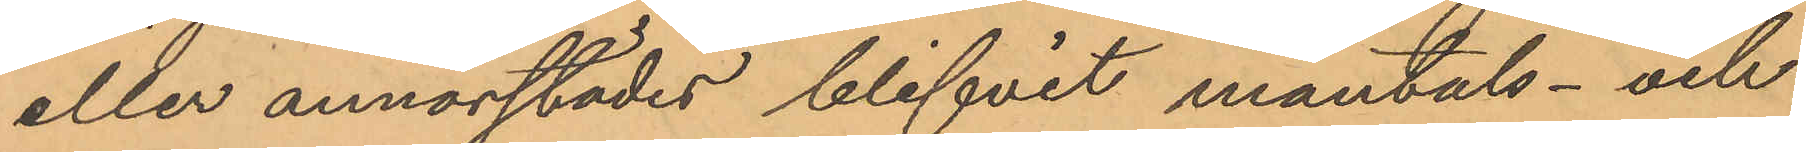eller annorstädes blifvit mantals- och
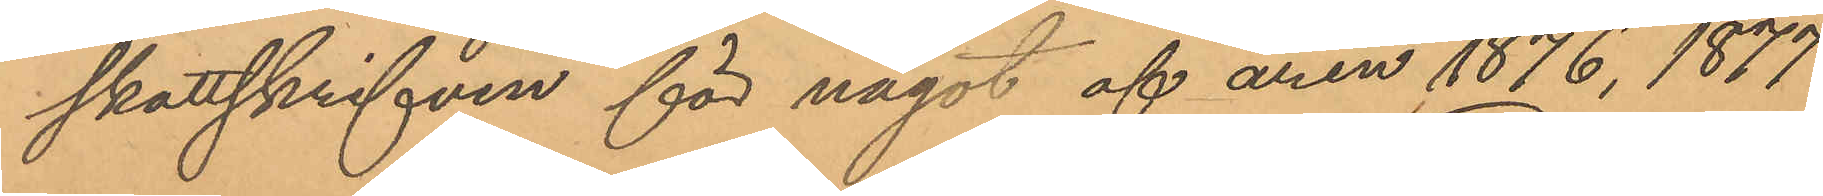skattskrifven för något af åren 1876, 1877
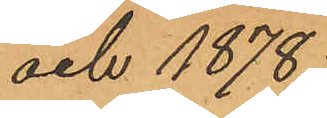och 1878.
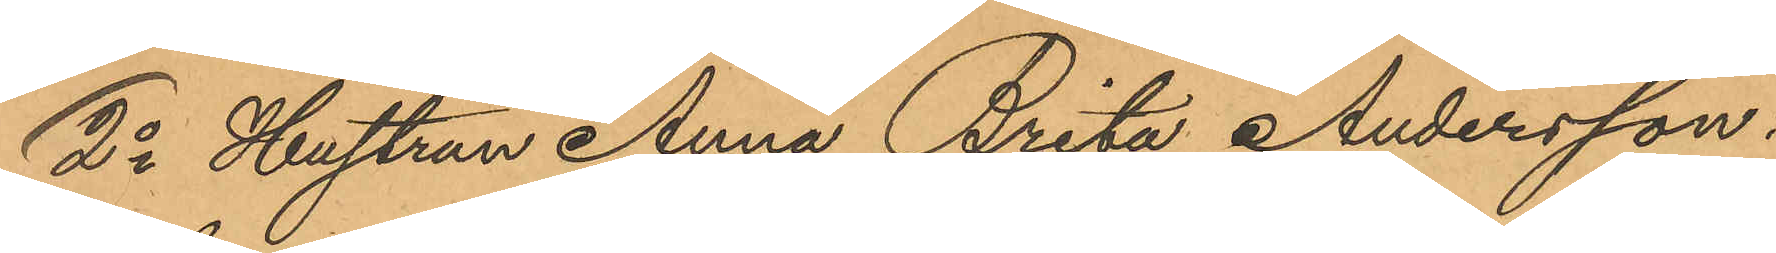2o Hustrun Anna Brita Andersson:
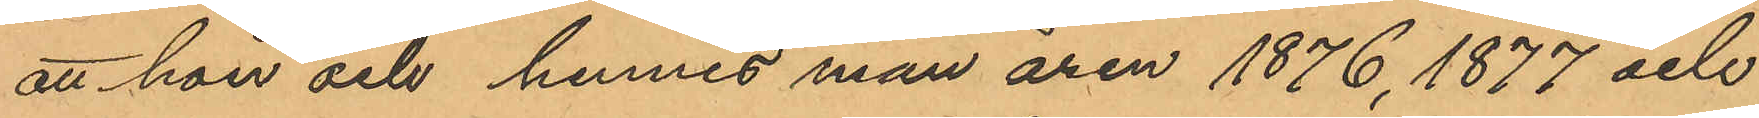att hon och hennes man åren 1876, 1877 och
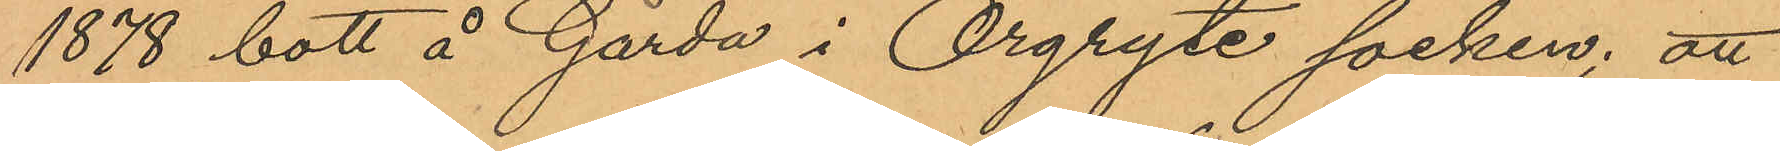1878 bott å Gårda i Örgryte socken; att
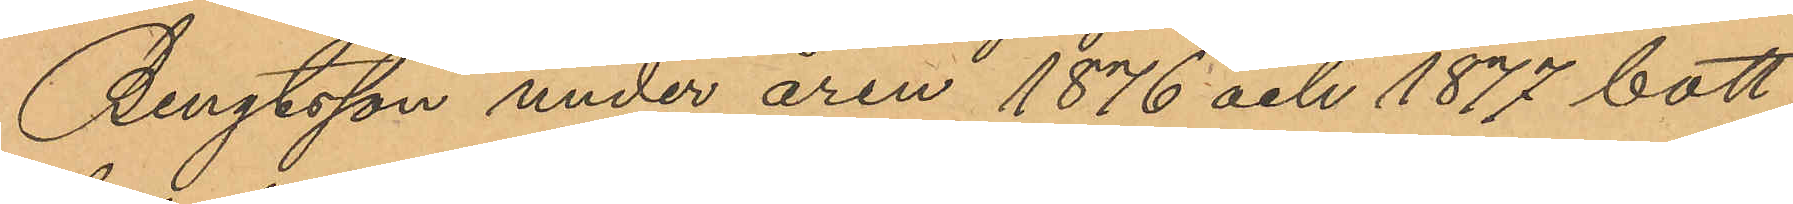Bengtsson under åren 1876 och 1877 bott
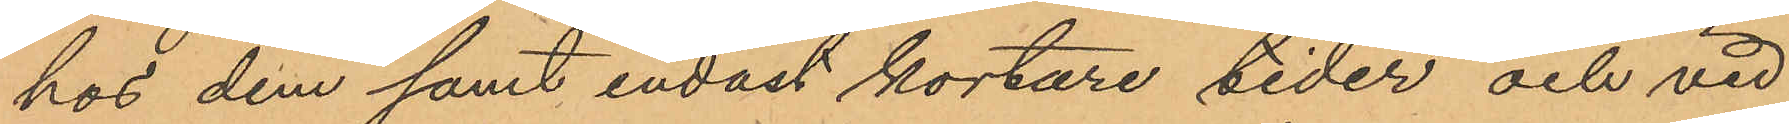hos dem samt endast kortare tider och vid
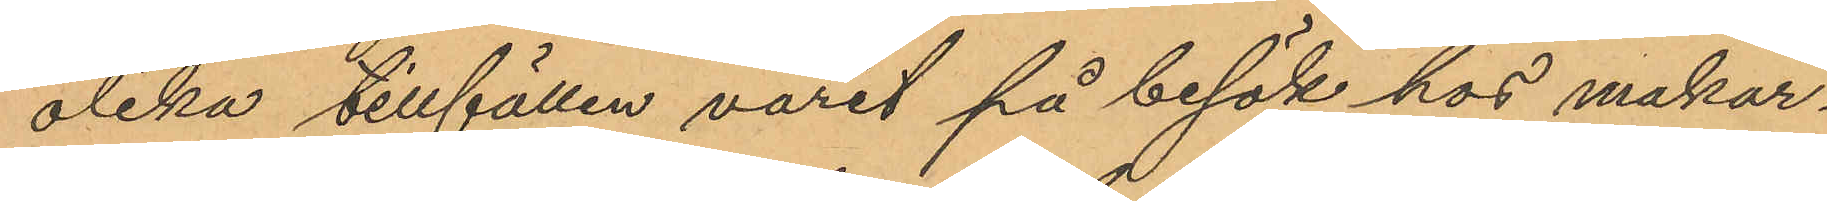olika tillfällen varit på besök hos makar¬
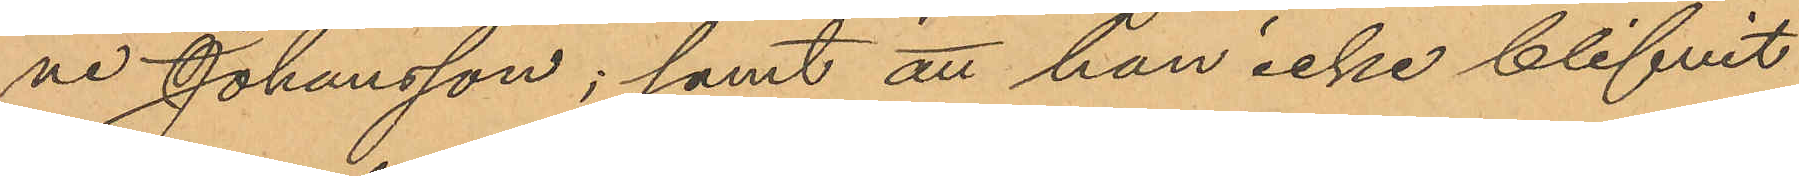ne Johansson; samt att han icke blifvit
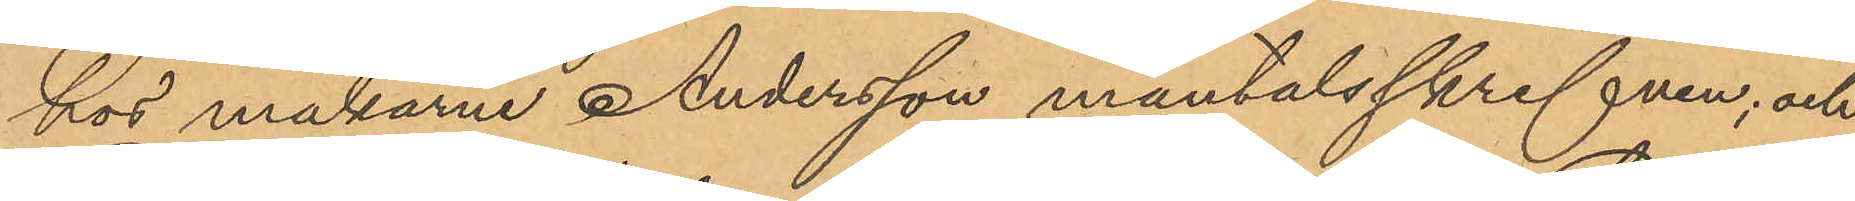hos makarne Andersson mantalsskrifven; och
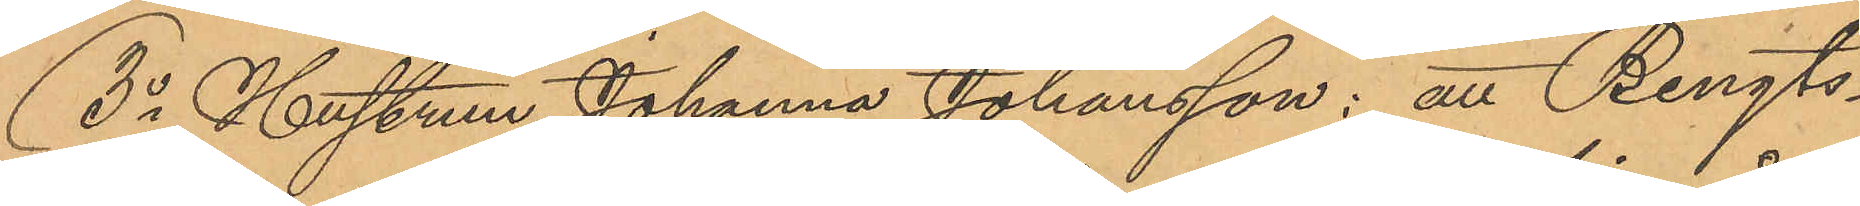3o Hustrun Johanna Johansson: att Bengts¬
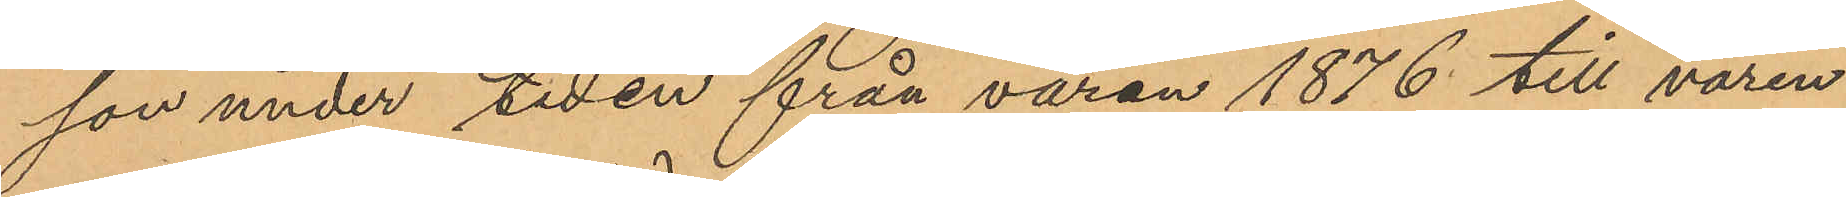son under tiden från våren 1876 till våren
